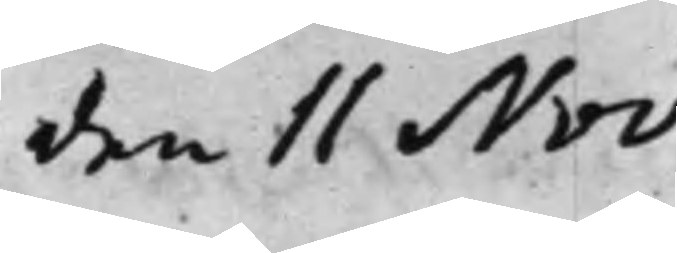den 11 Nov.
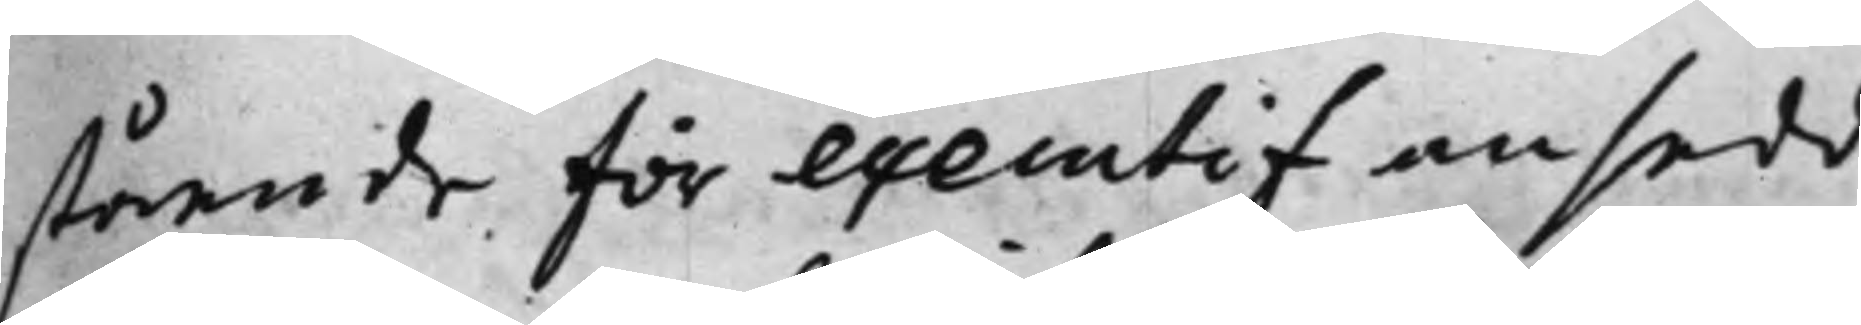stående för executif ansedd,
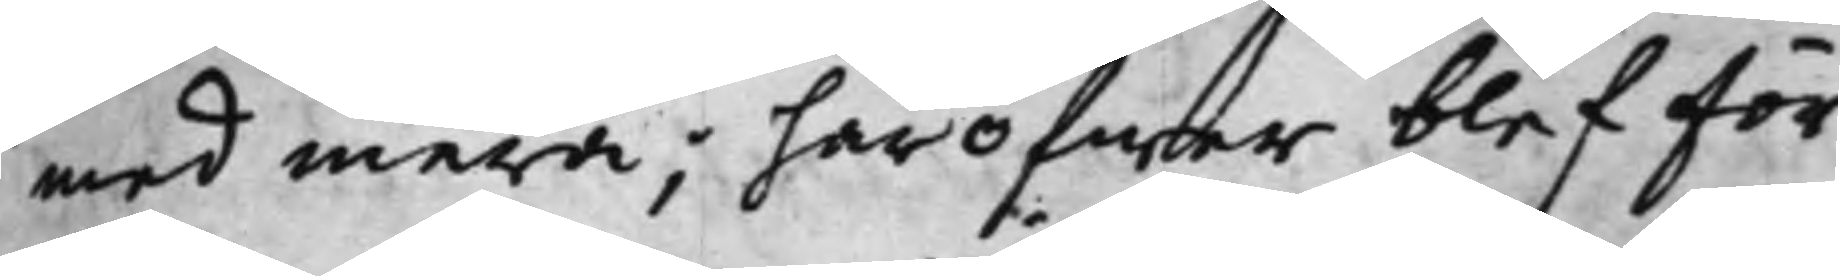med mera; häröfwer blef för
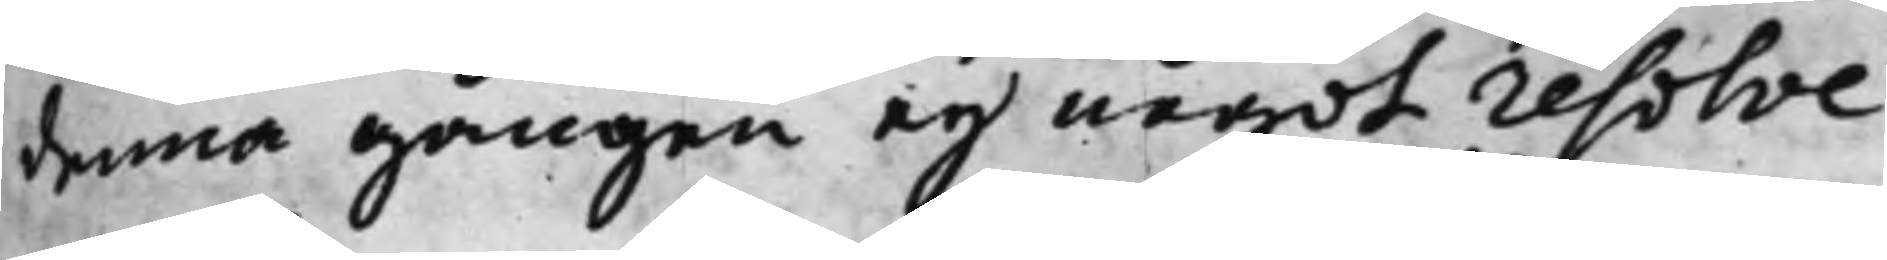denna gången ey något resolve¬
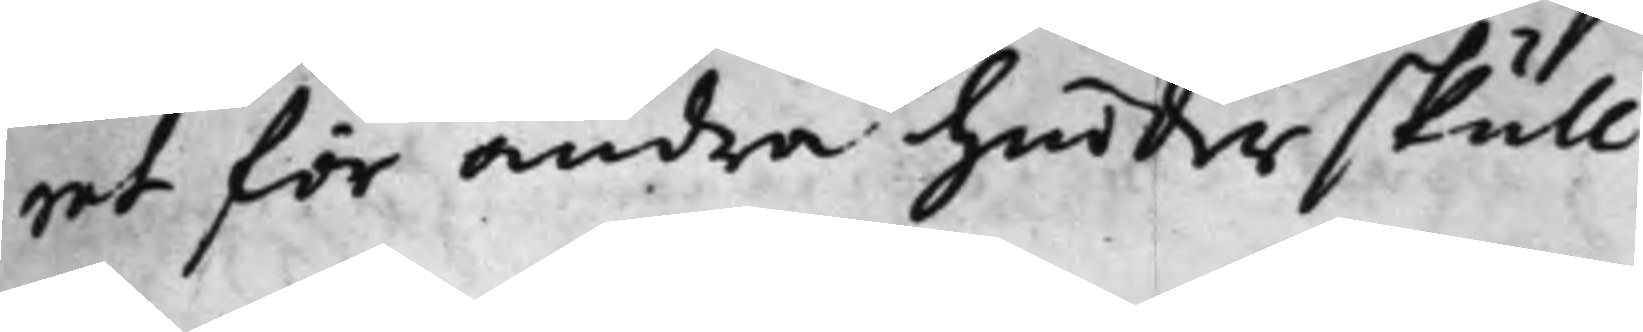rat för andra hinders skull.
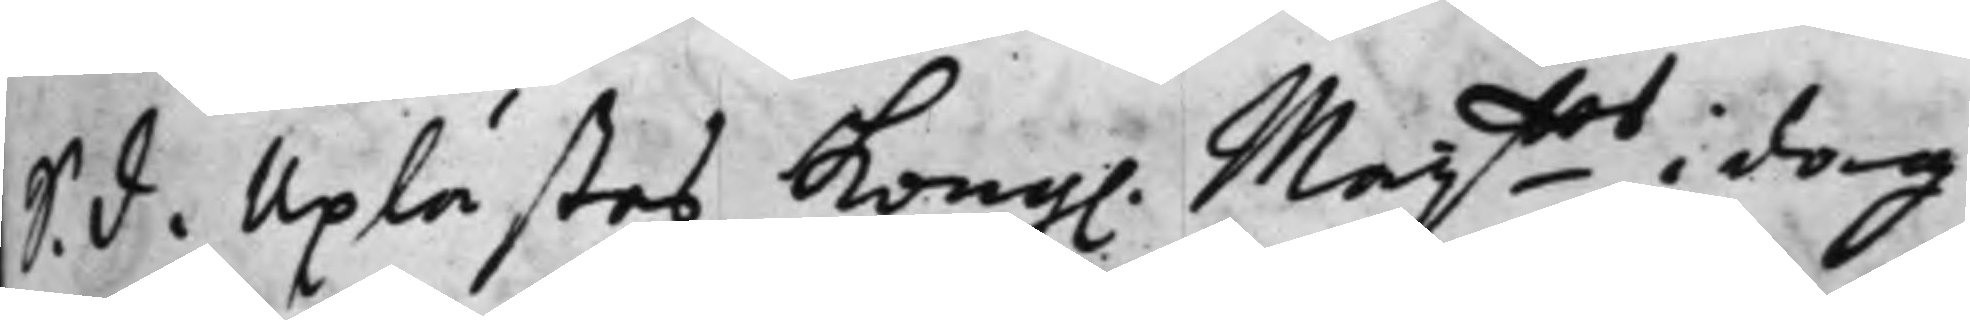S. d. Uplästes Kong. Maij.tes i dag
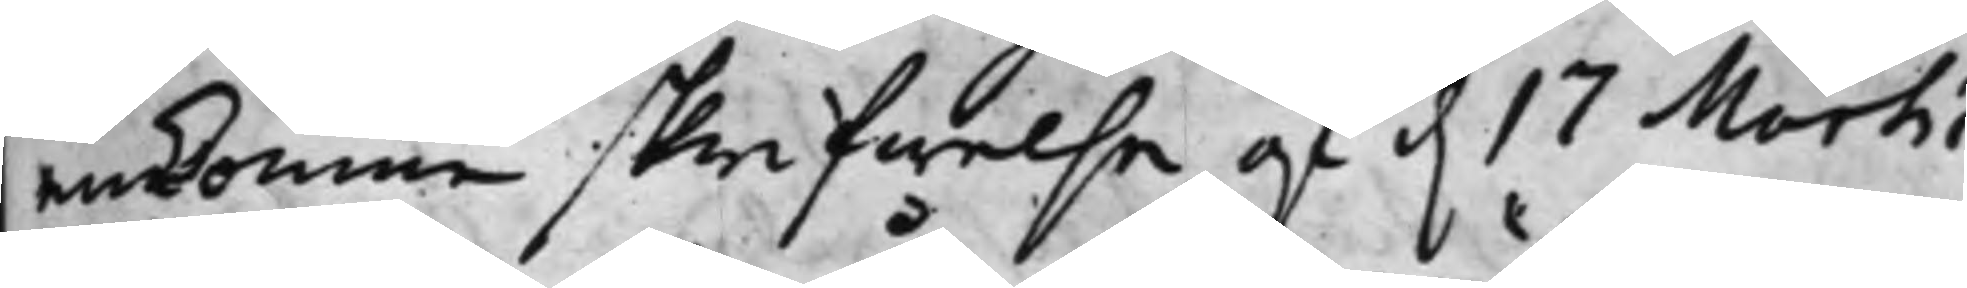ankomne skrifwelse af d. 17 Martii
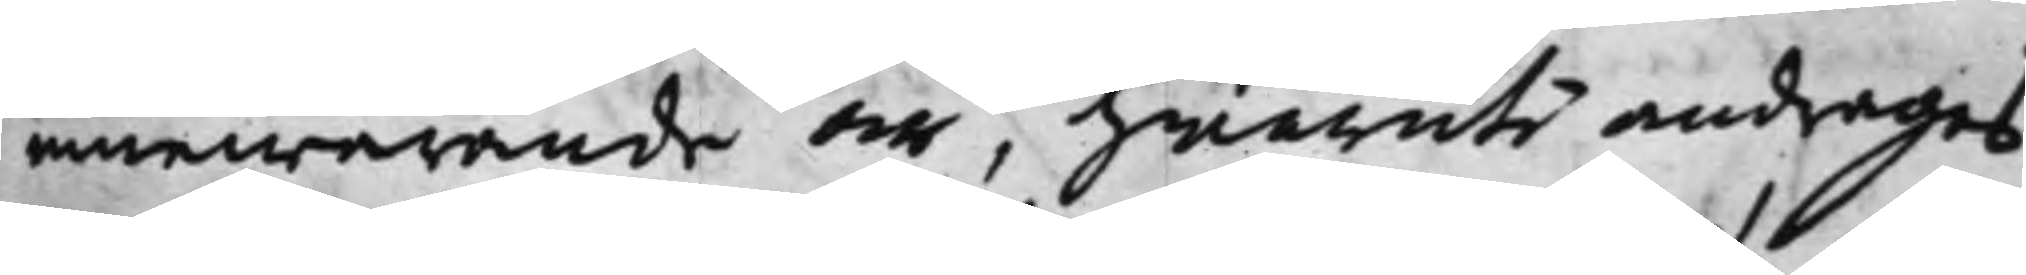innewarande År, hwaruti andrages,
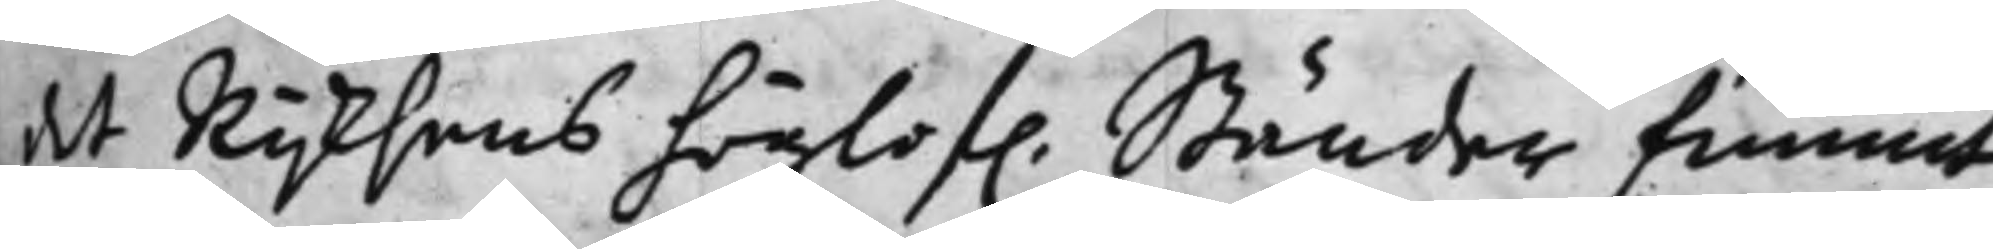at Rijksens höglof. Ständer funnit
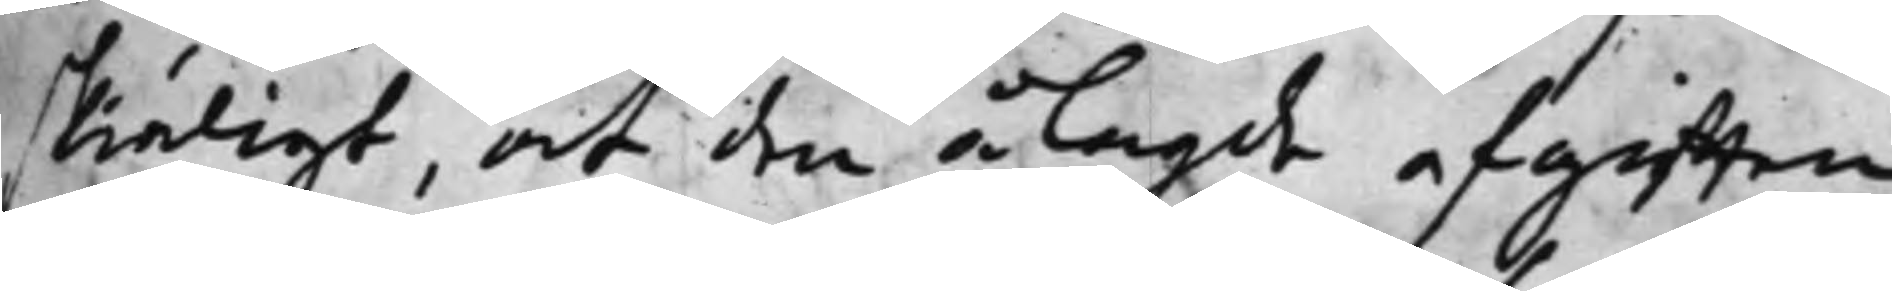skiäligt, at den ålagde afgiften
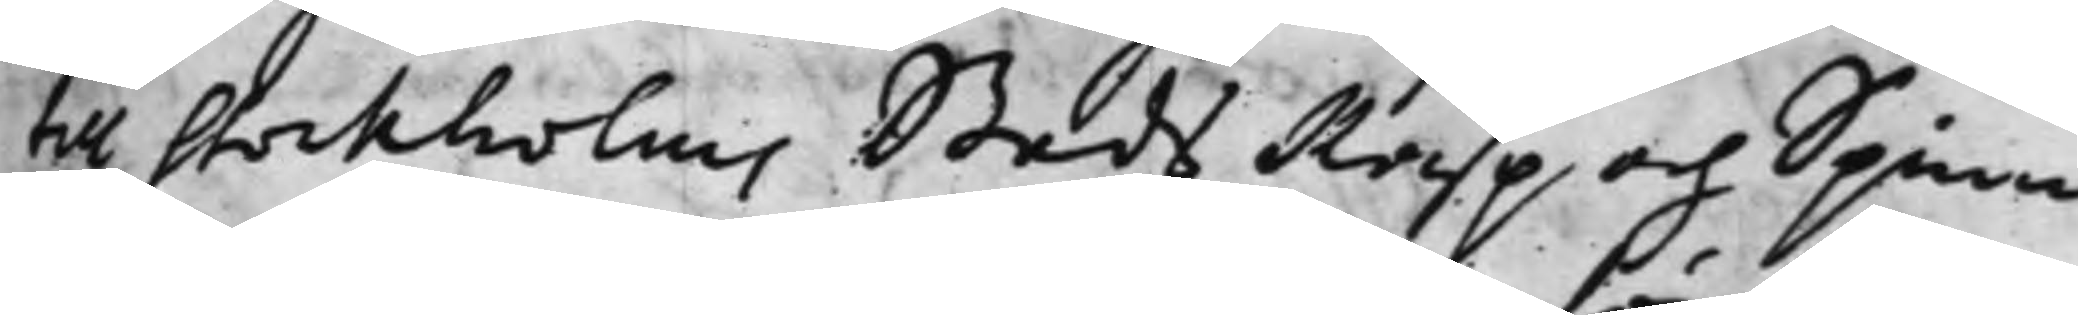till Stockholms Stads Rasp och Spinn¬
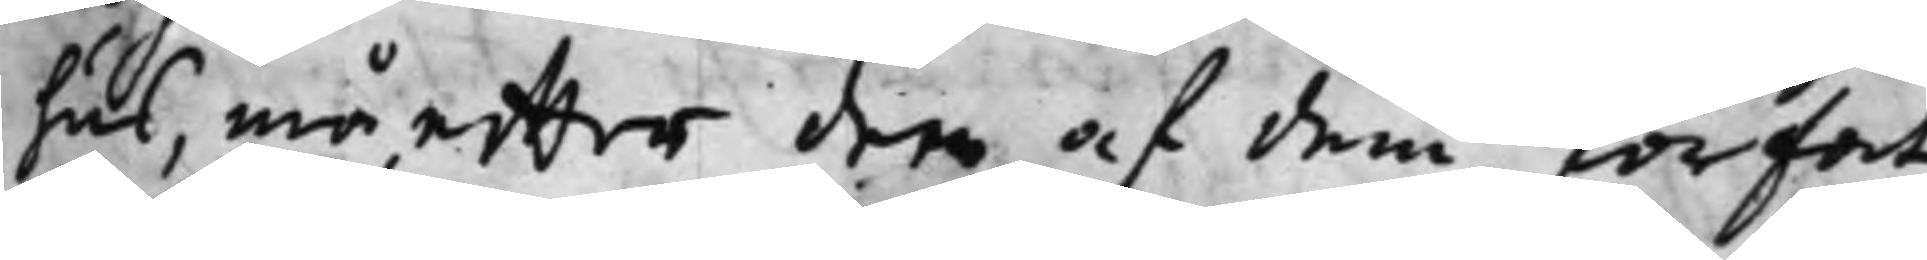hus, må effter den af dem förfat¬
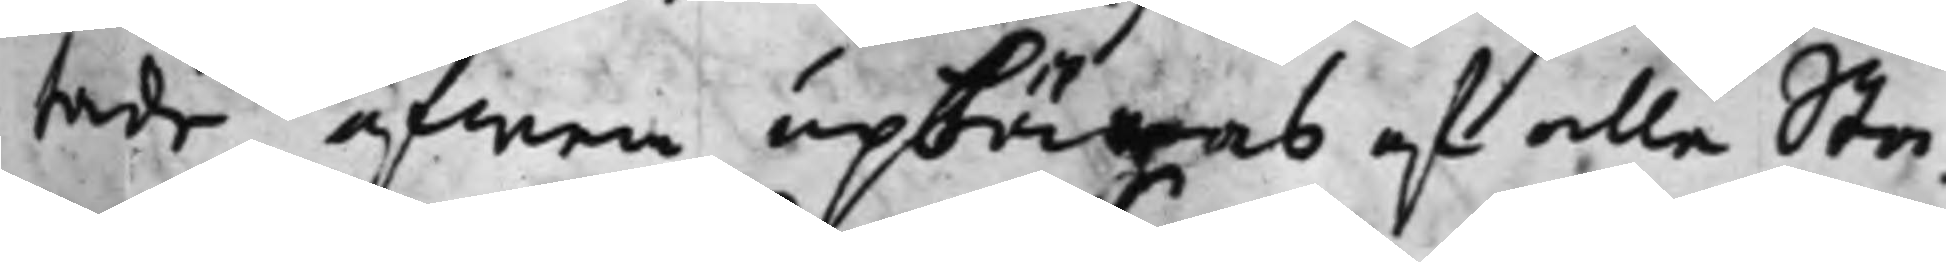tade äfwen upbäras af alle Sta¬
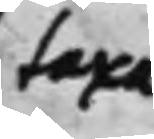taxa
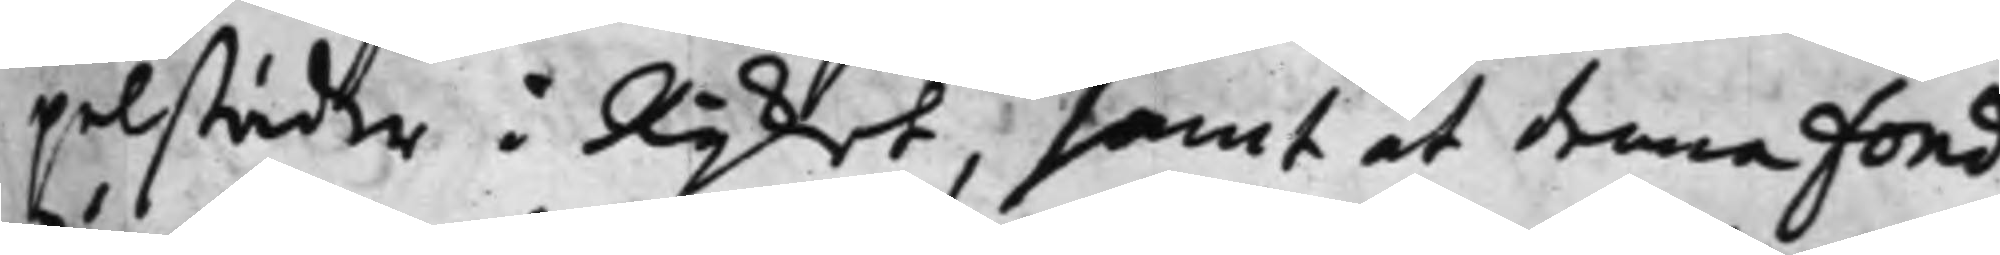pelstäder i Rijket, samt at denna Fond
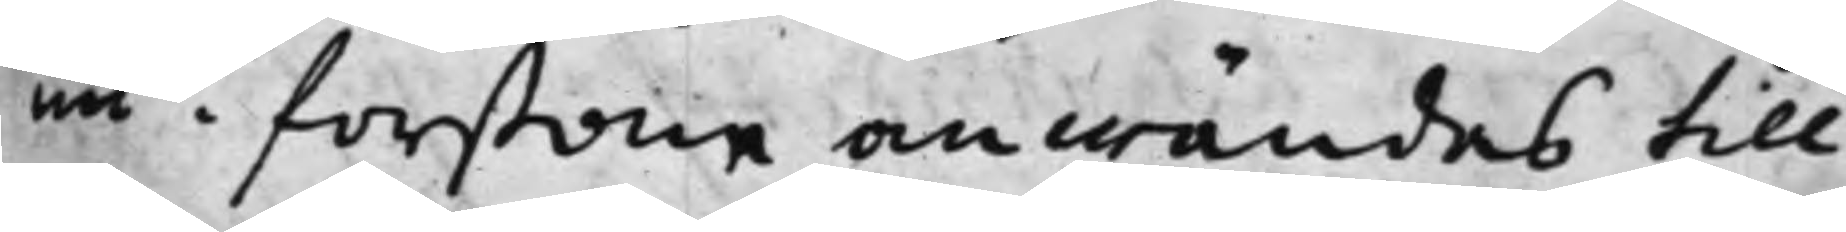nu i forstone anwändes till
